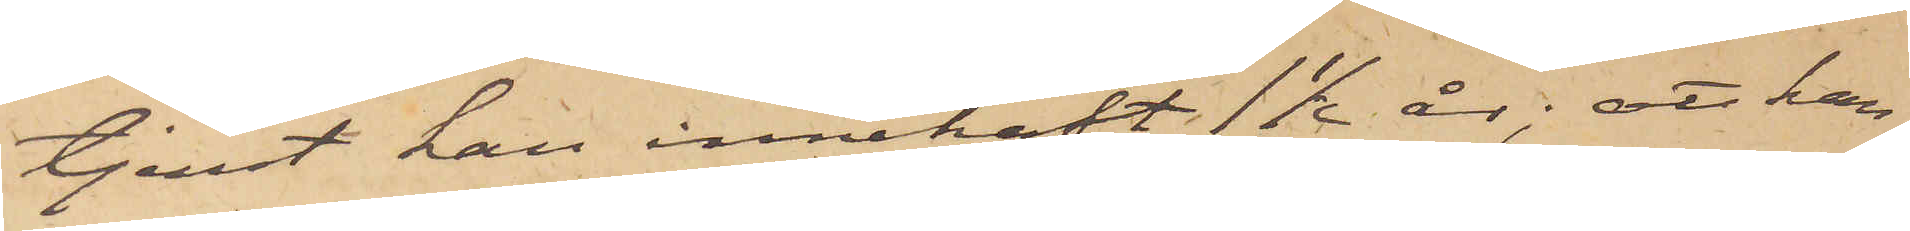tjenst han innehaft 1½ år; att han
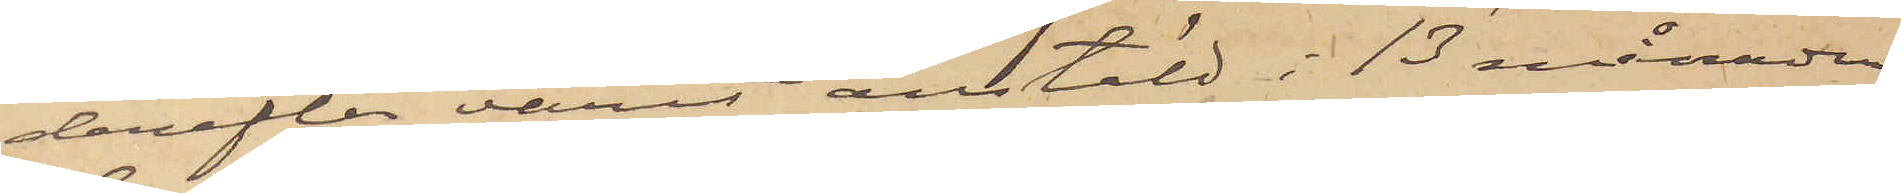derefter varit anstäld i 13 månader
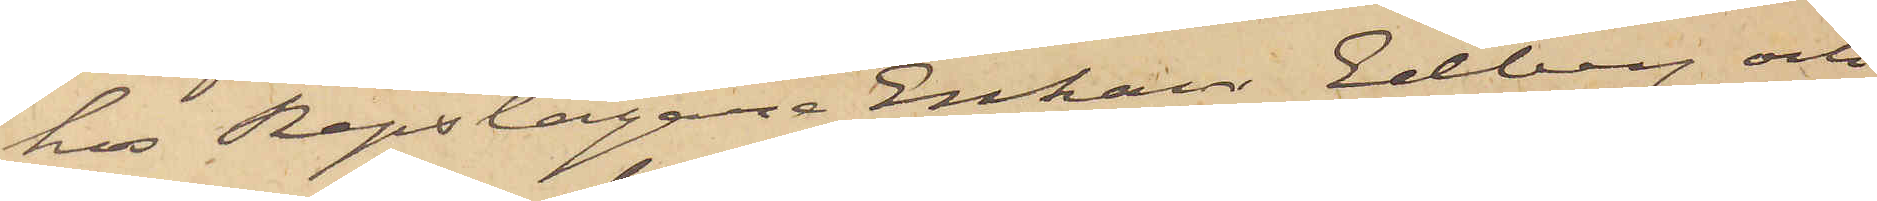hos Repslagare Enkan Edberg och
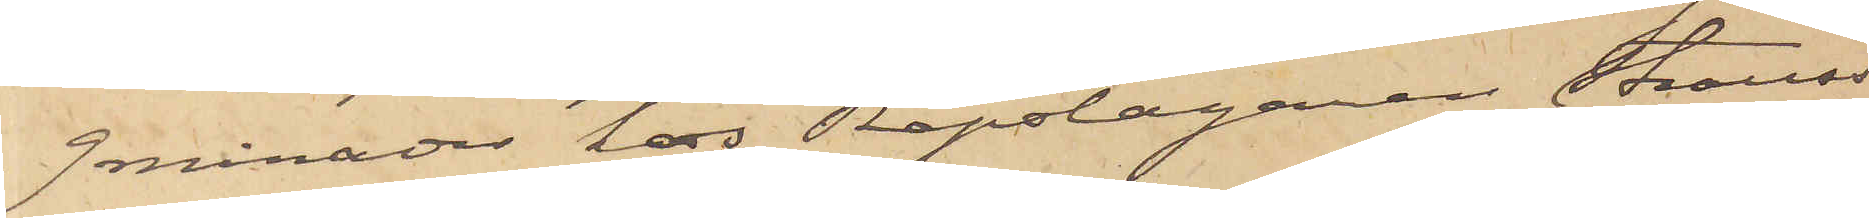9 månader hos Repslagaren Strauss
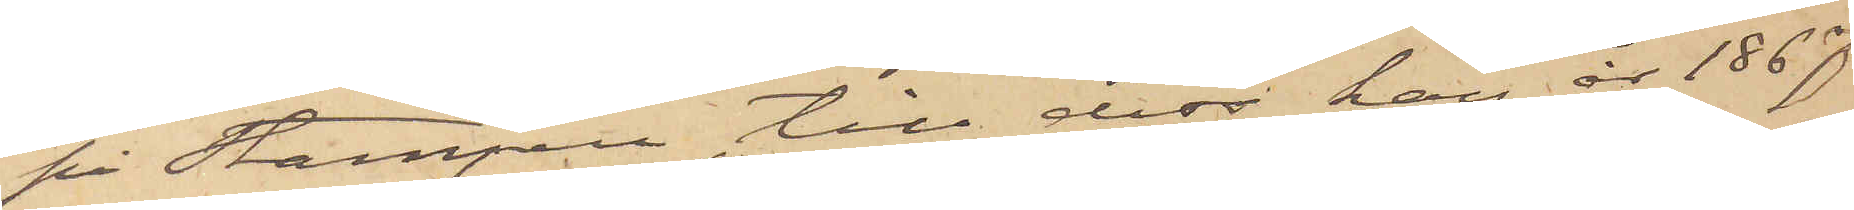på Stampen, till dess han år 1867
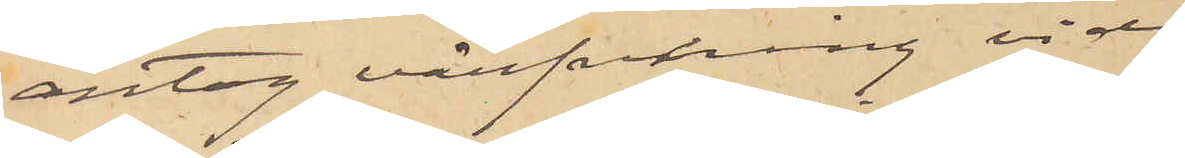antog värfning vid
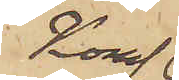Kongl.
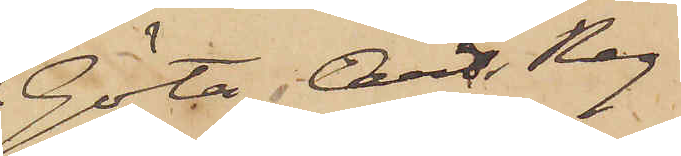Göta Art. Reg.
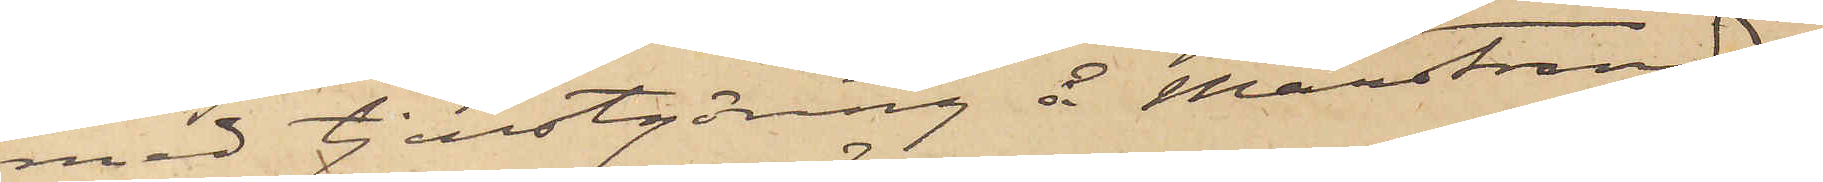med tjenstgöring å Marstrand;
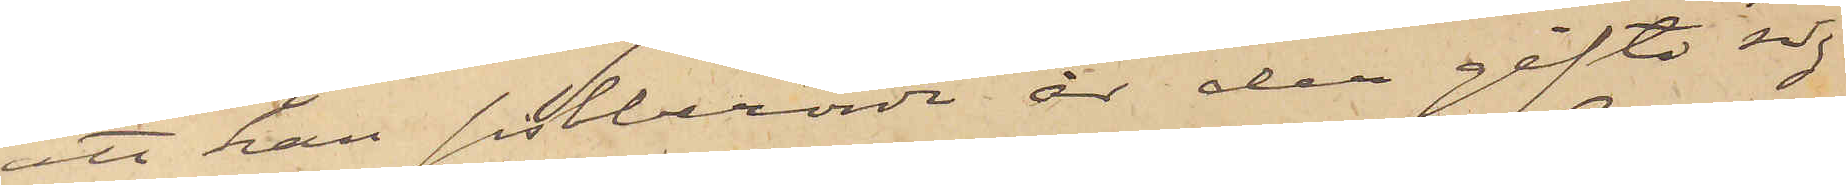att han sistberörde år der gifte sig
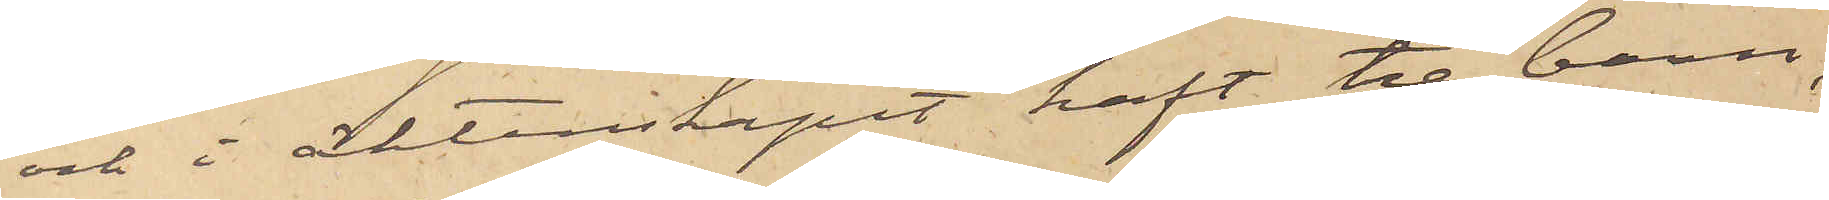och i äktenskapet haft tre barn,
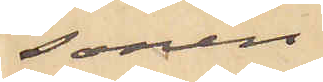sonen
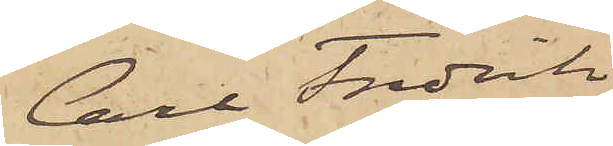Carl Fredrik
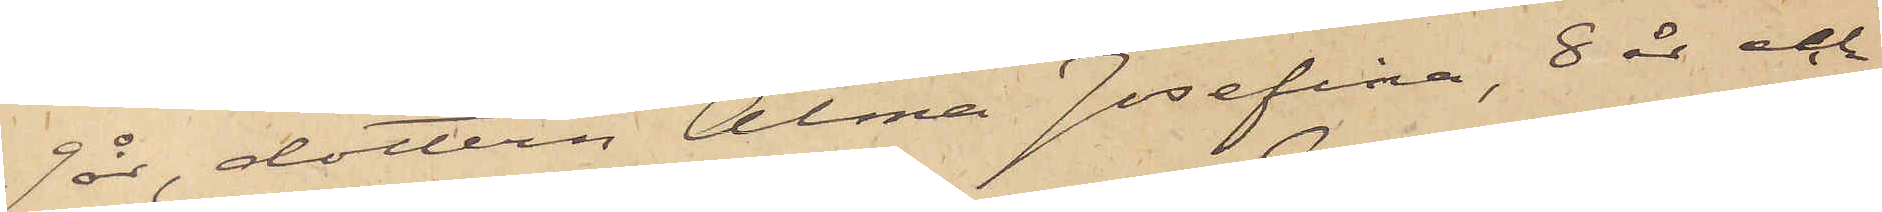9 år, dottern Alma Josefina, 8 år och
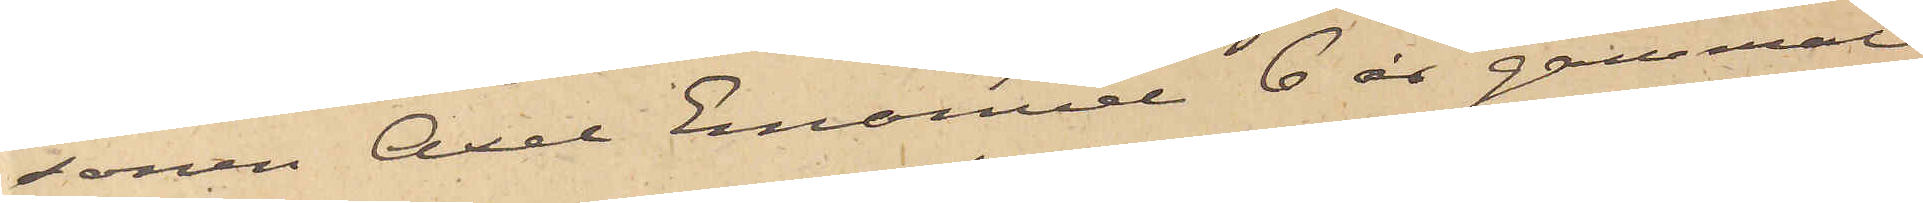sonen Axel Emanuel 6 år gammal;
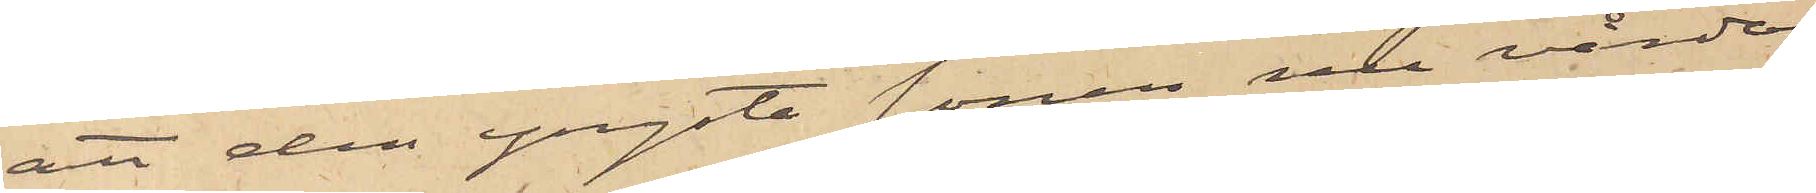att den yngste sonen nu vårdas
